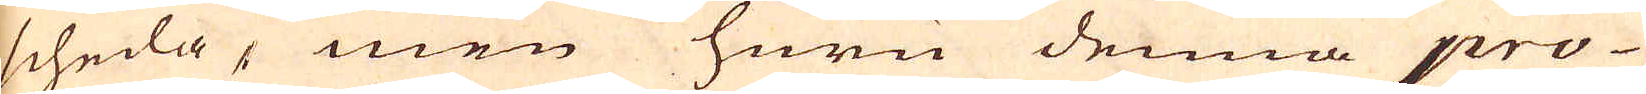scheda, men huru denna pro-
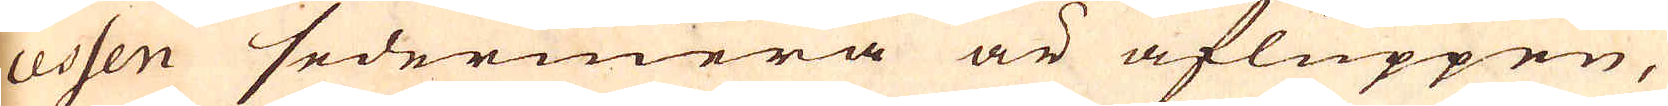cessen sedermera är afluppen,
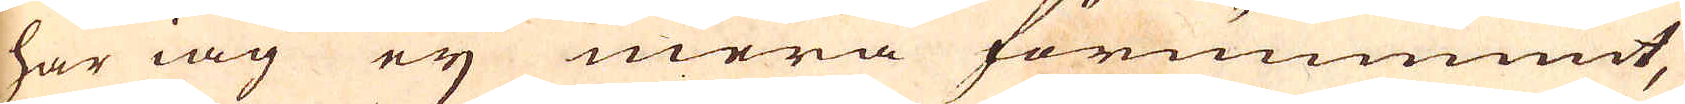har iag eij mera förnummit,
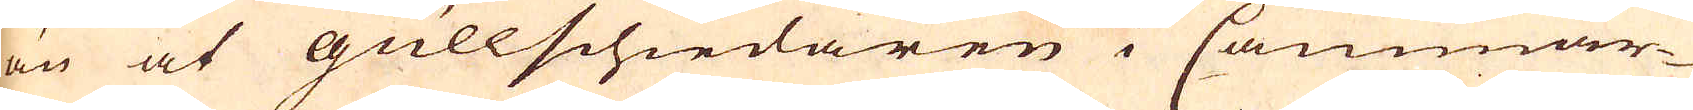än at Gullschiedaren i Cammar-
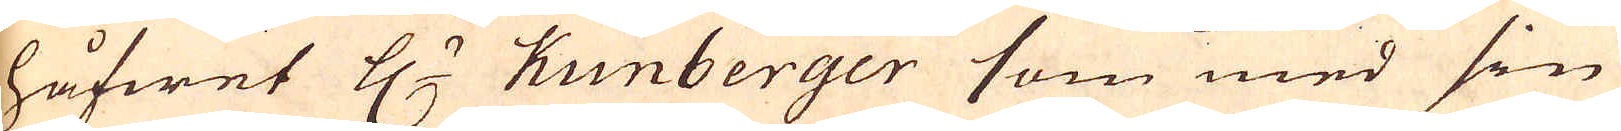håfwet H:r Kunberger som med sin
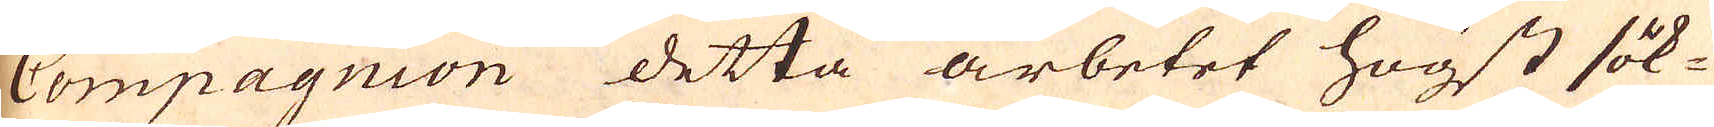Compagnion detta arbetet högst sök-
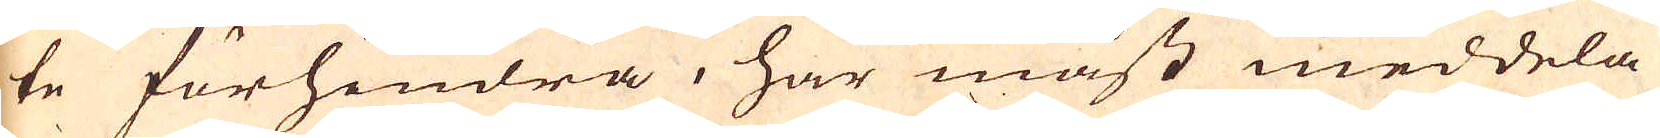te förhindra, har måst meddela
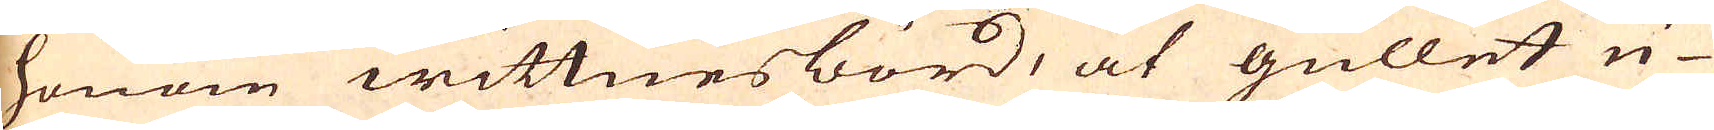honom wittnes börd, at gullet u-
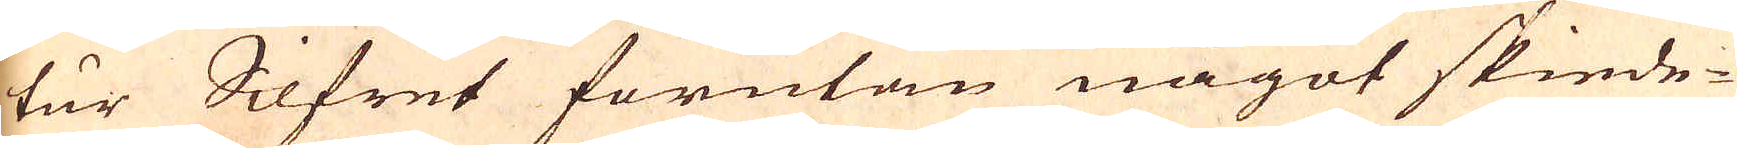tur Silfret förutan något skiede-
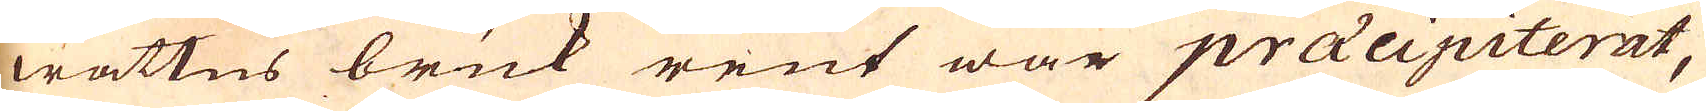wattns bruk rent war praecipiterat,
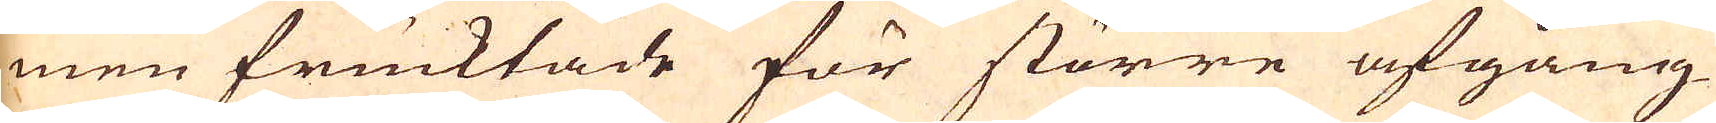men frucktade för större afgång
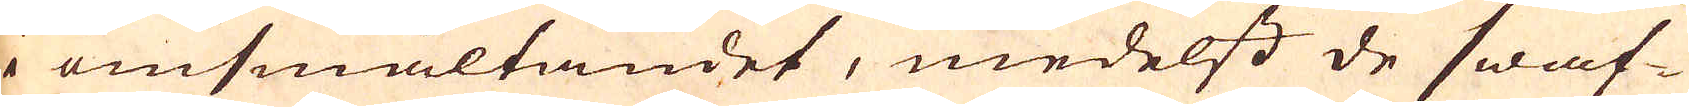i omsmältandet, medelst de swaf-
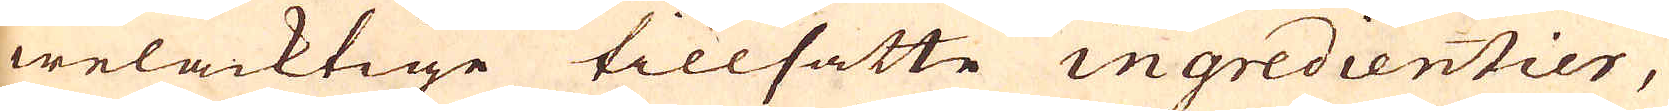welacktige tillsatte ingredientier,
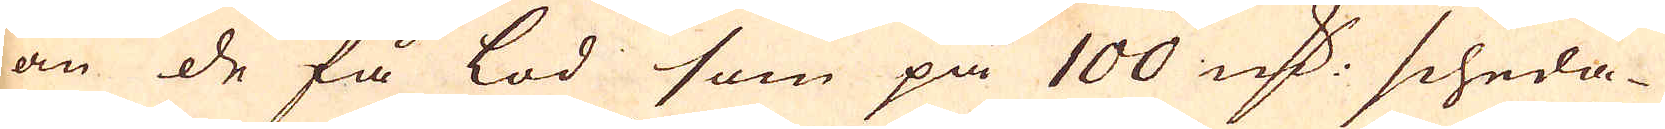än de få lod som på 100 marker scheda-
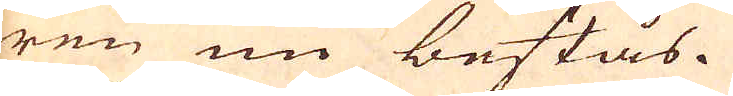ren nu bestås.
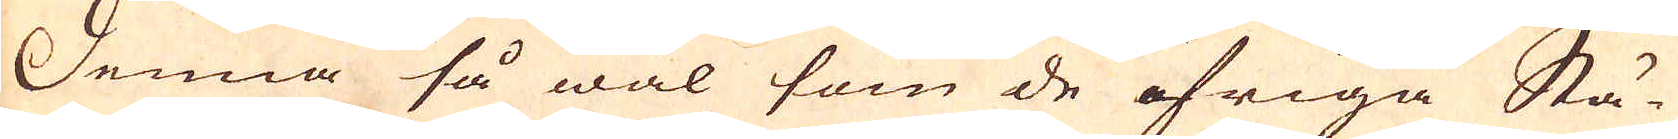Denna så wäl som de öfriga Stä-
